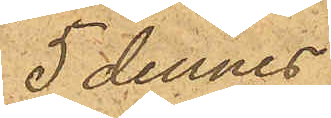5 dennes
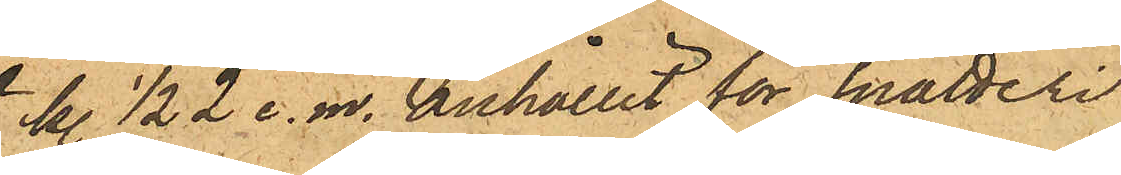kl. ½2 e.m. anhållit för snatteri
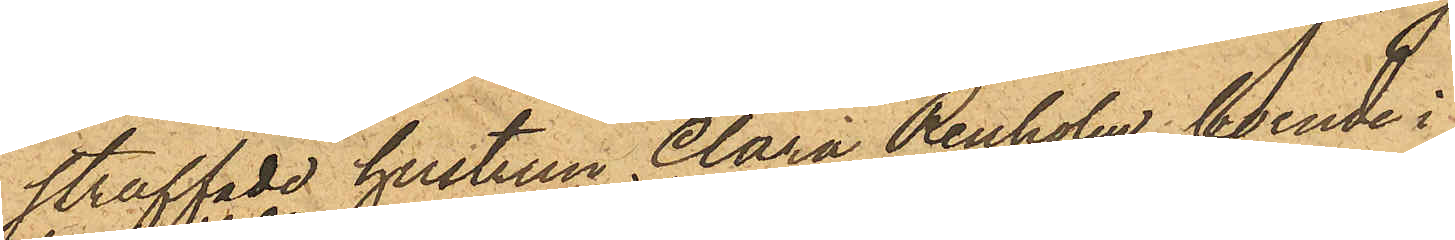straffade hustrun Clara Renholm, boende i
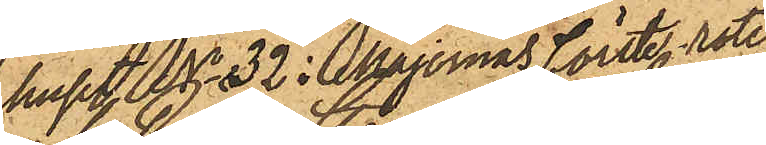huset No 32 i Majornas förste rote,
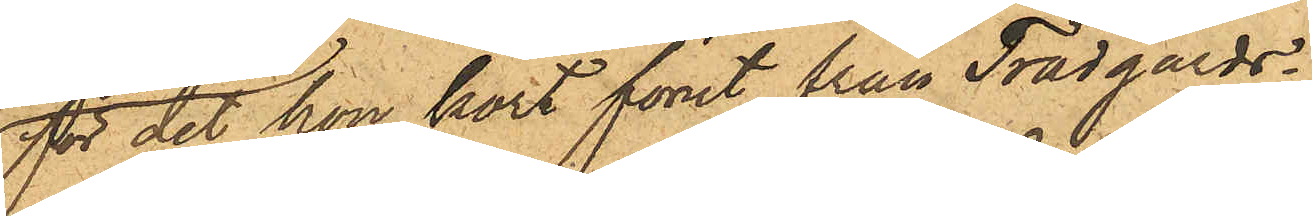för det hon kort förut från Trädgårds¬
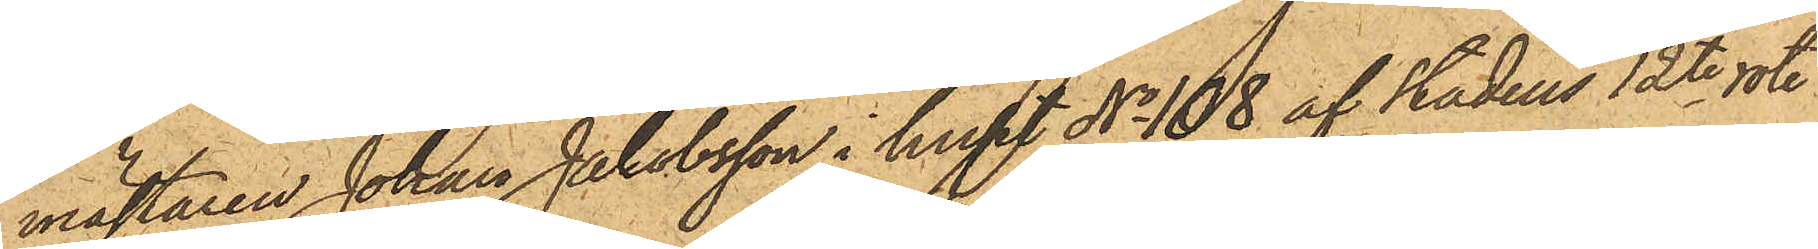mästaren Johan Jakobsson i huset No 108 af stadens 12te rote
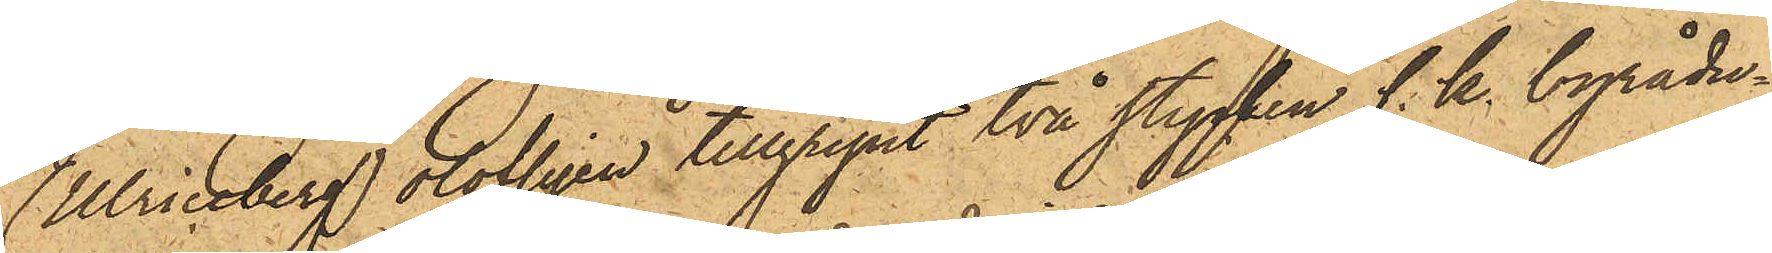(Ulriceberg) olofligen tillgripit två stycken s. k. byrådu¬
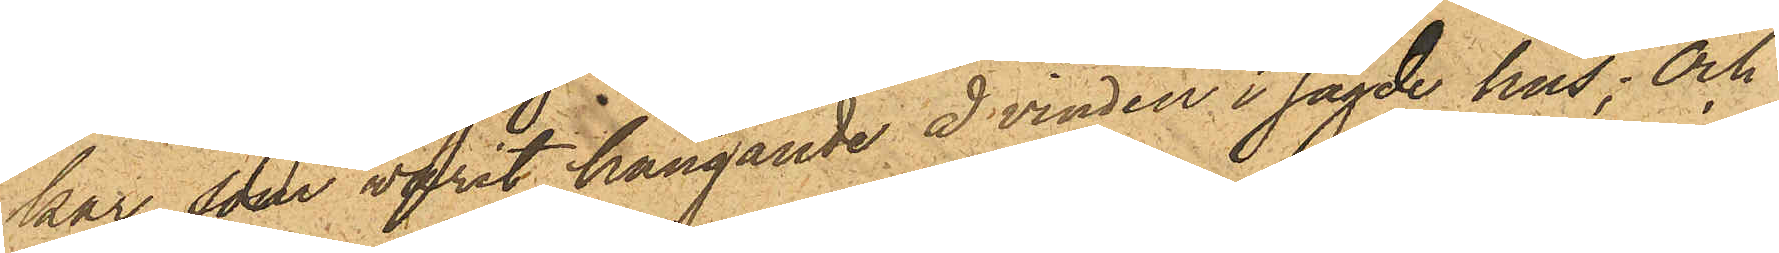kar, som varit hängande å vinden i sagde hus; och
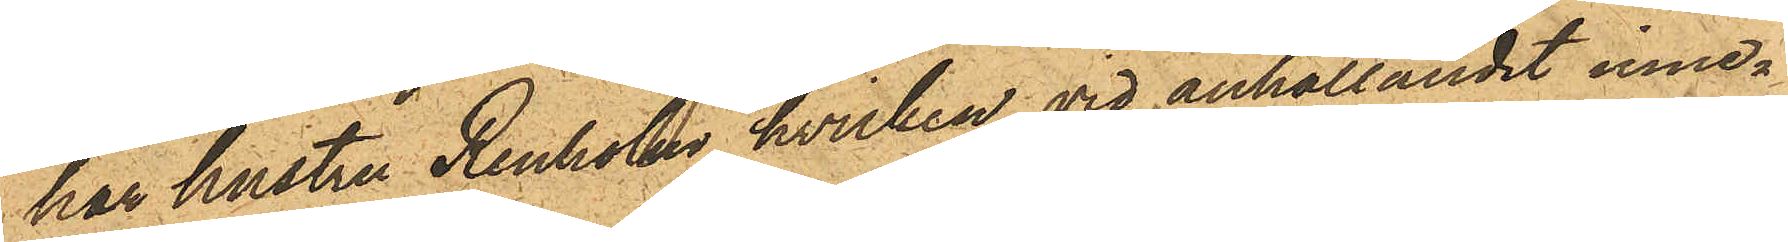har hustru Renholm, hvilken vid anhållandet inne¬
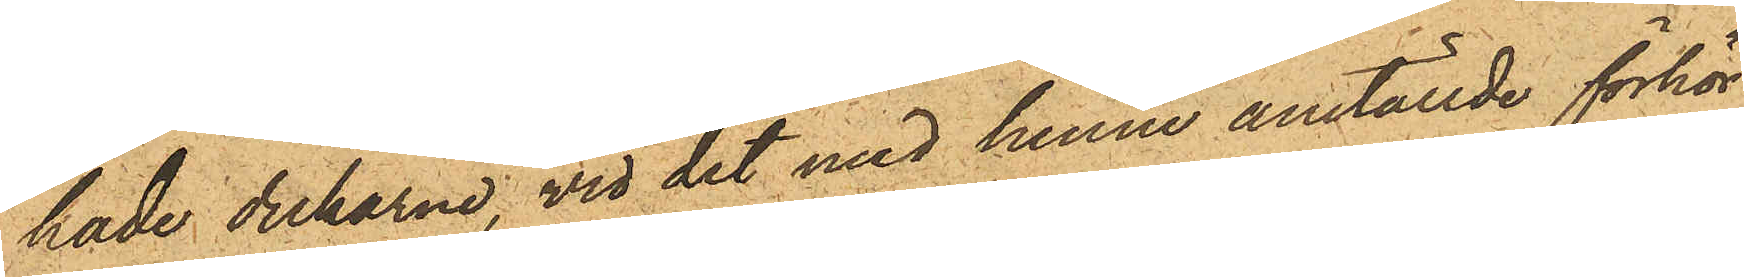hade dukarne, vid det med henne anställde förhör
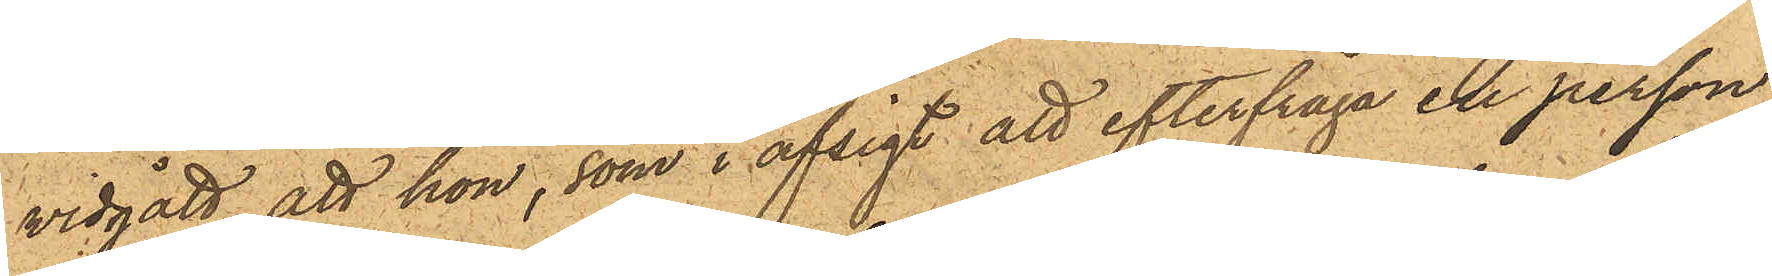vidgått, att hon, som i afsigt att efterfråga en person,
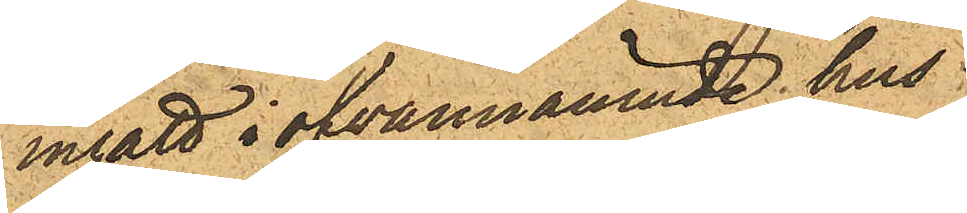ingått  i ofvannämnde hus,
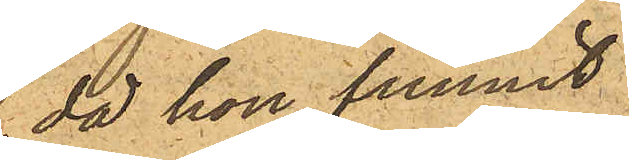då hon funnit
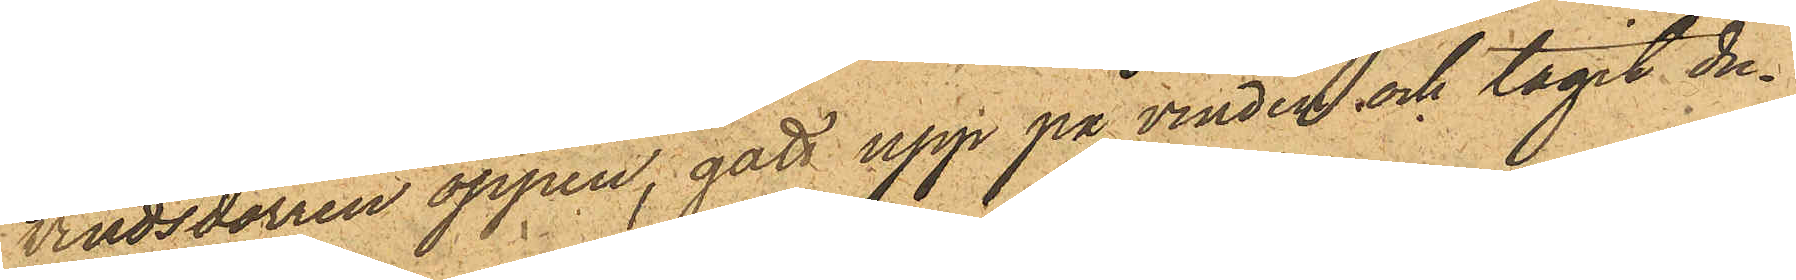vindsdörren öppen, gått upp på vinden och tagit du¬
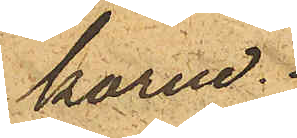karne.
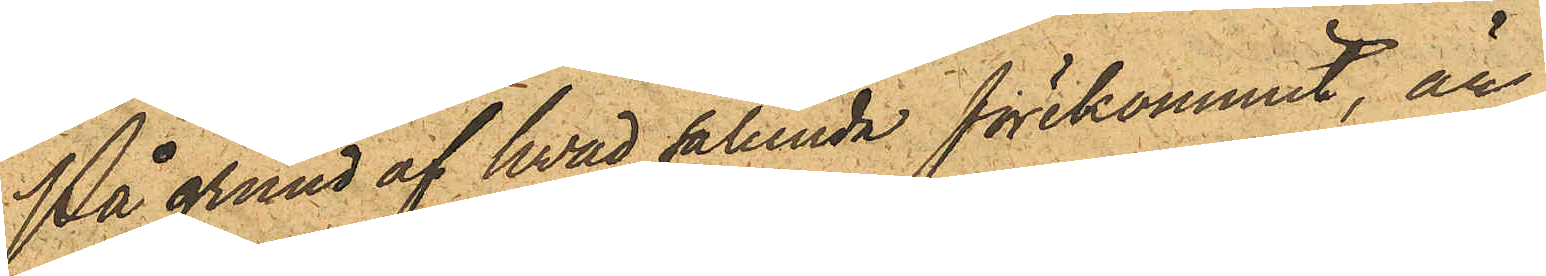På grund af hvad sålunda förekommit, är
